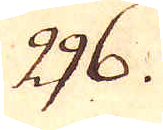296.
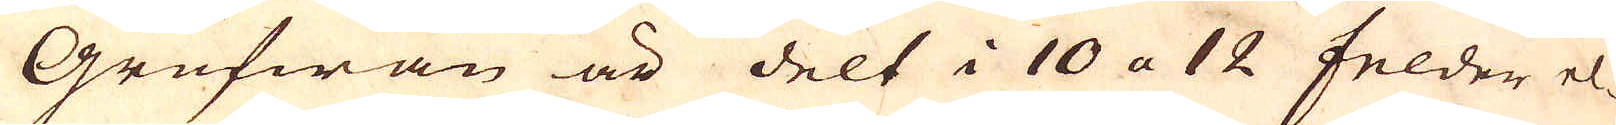Grufwan är delt i 10 a 12 felder el-
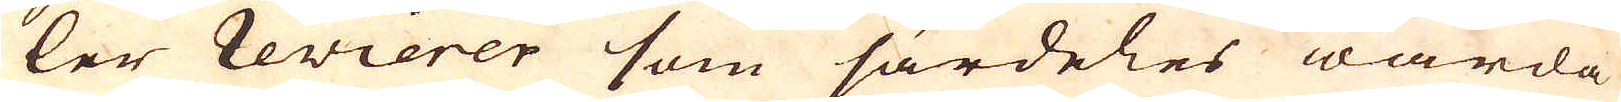ler revierer som särdeles warda
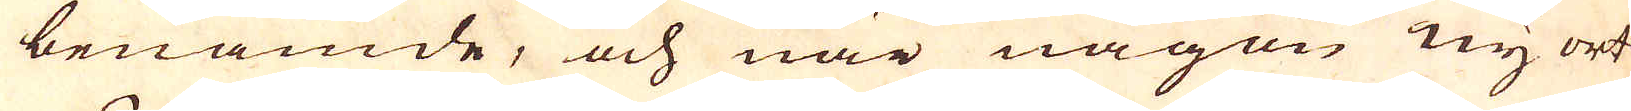benämde, och när någon ny ort
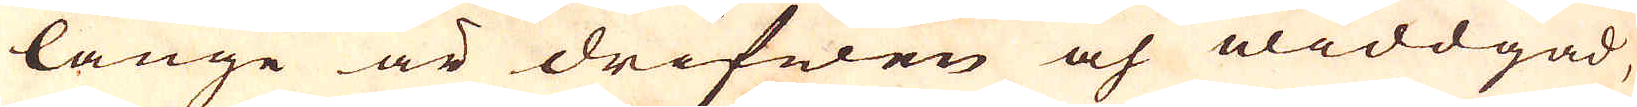länge är drifwen och widdgad,
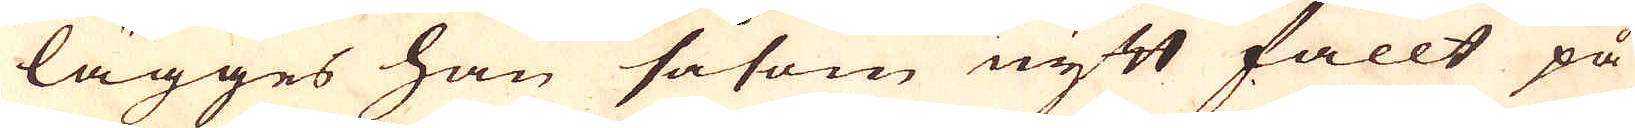lägges han såsom nytt fällt på
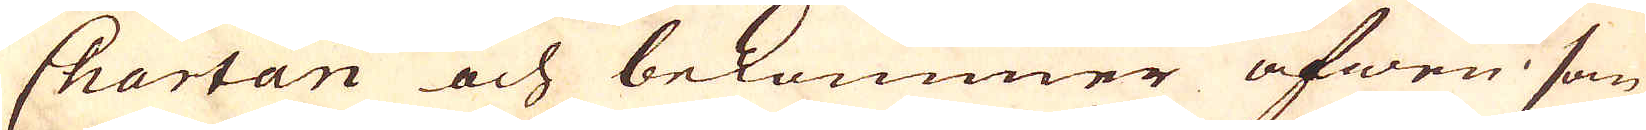Chartan och bekommer äfwen som
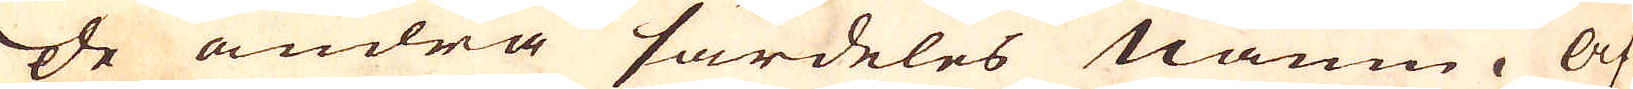de andra särdeles namn. Af
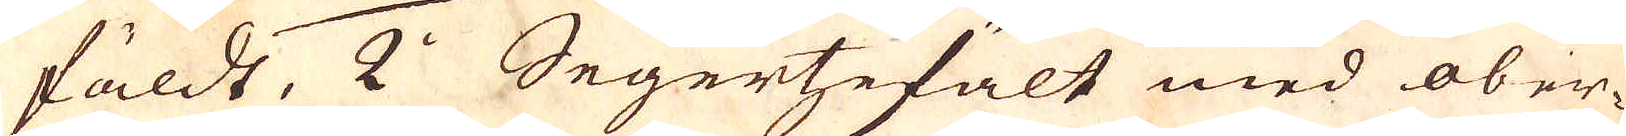fäldt, 2:o Segertzefält med ober-
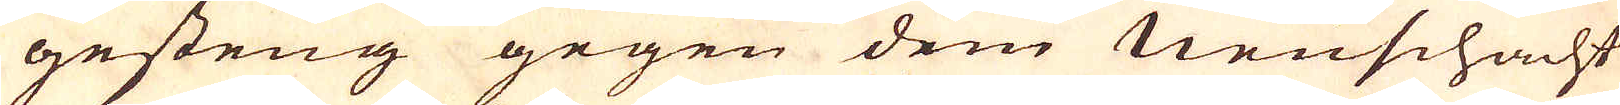gesteng gegen dem neuschacht
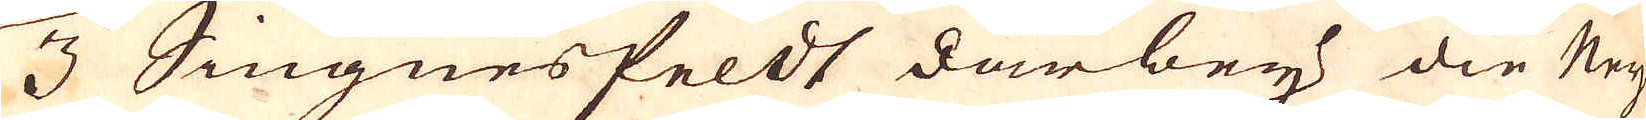3:o Jiugnesfeldt darbey die Ney-
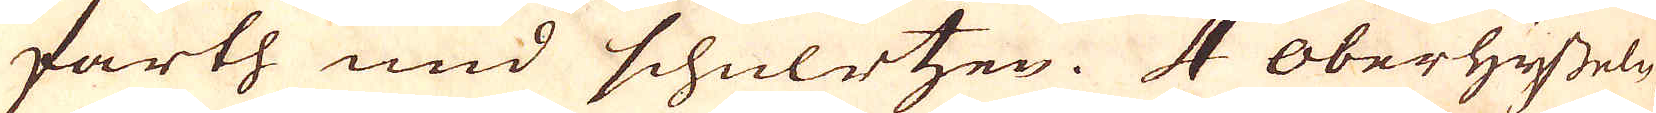farth und schulvtzen. 4 Oberhysseln
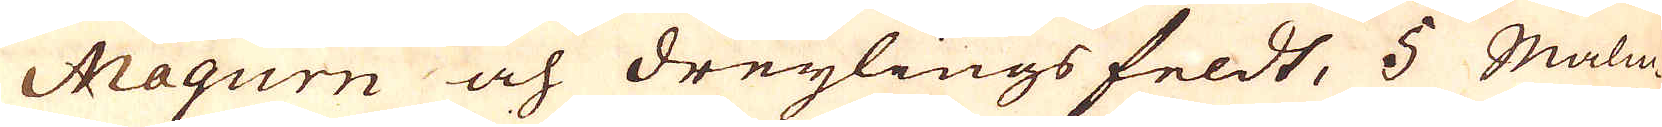Maqurn och dreylings feldt, 5 Malm-
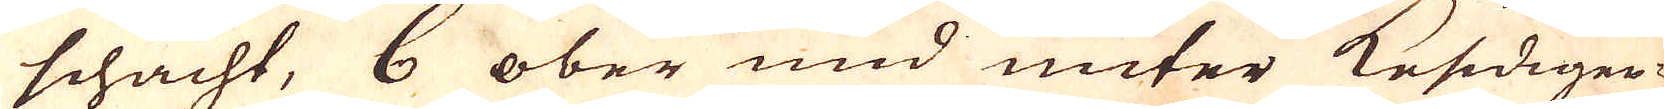schacht, 6 ober und unter Kesidigen-
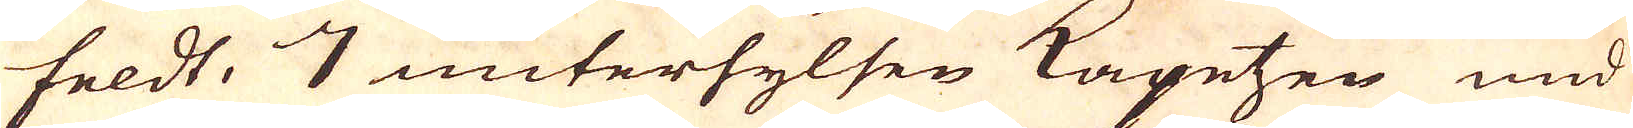feldt, 7 unterhylsen Kapetzen und
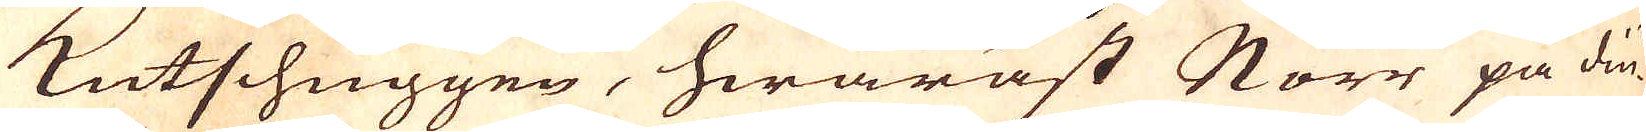Kutschuggen, hwaräst Norr på diu-
